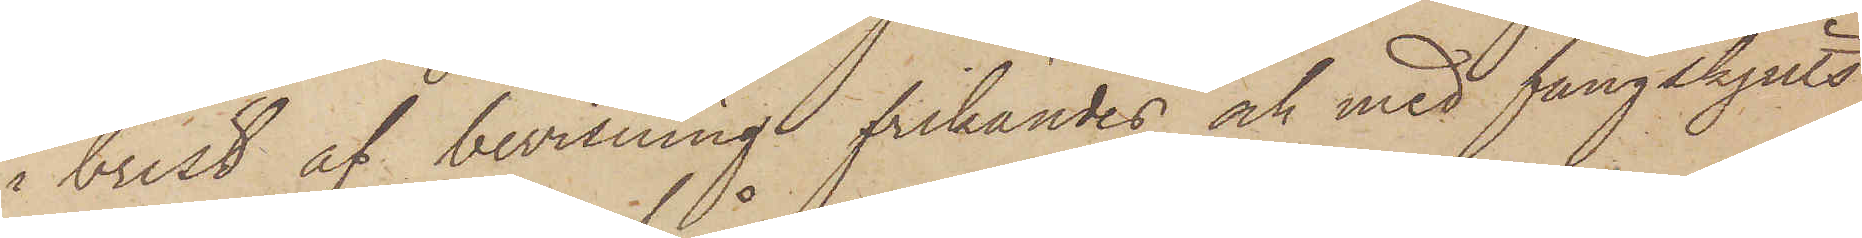i brist af bevisning frikändes och med fångskjuts
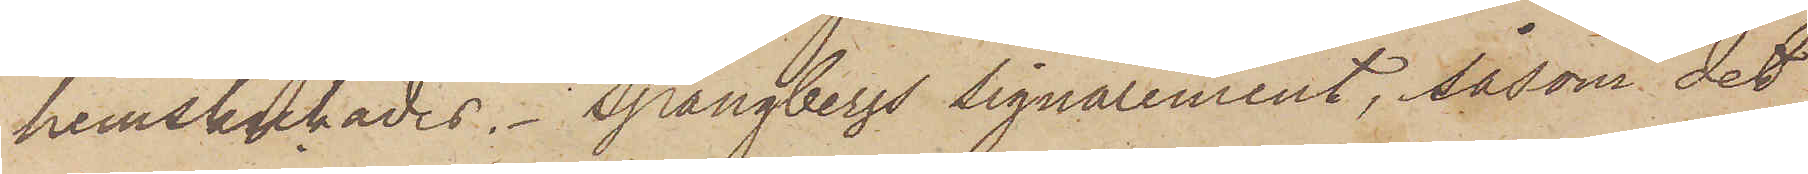hemskickades. Spångbergs signalement, såsom det
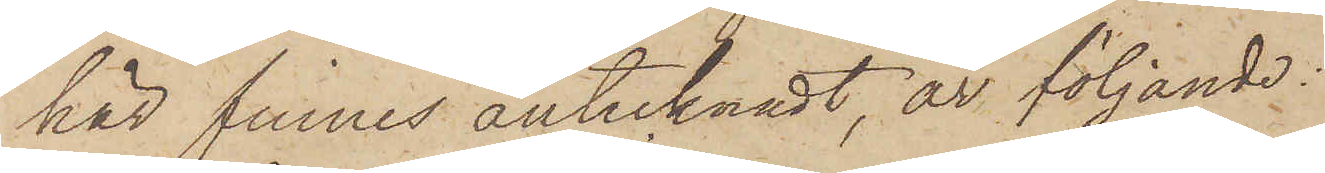här finnes antecknadt, är följande:
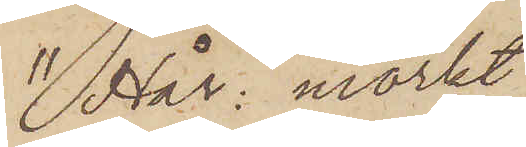"Hår: mörkt
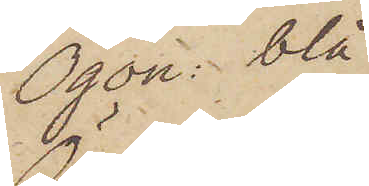Ögon: blå
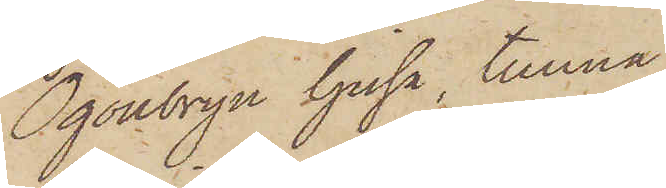Ögonbryn ljusa, tunna
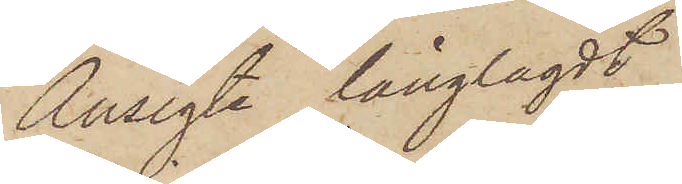Ansigte långlagdt
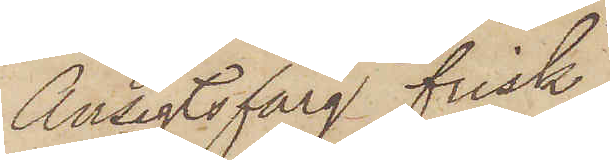Ansigtsfärg frisk
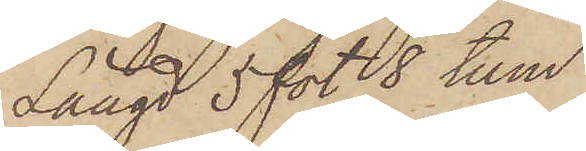Längd 5 fot 8 tum
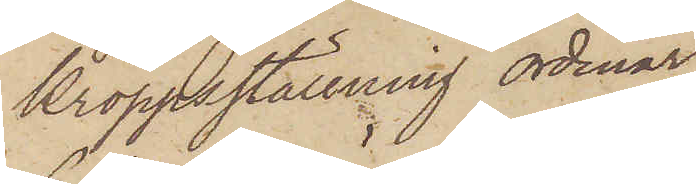kroppsställning ordinär
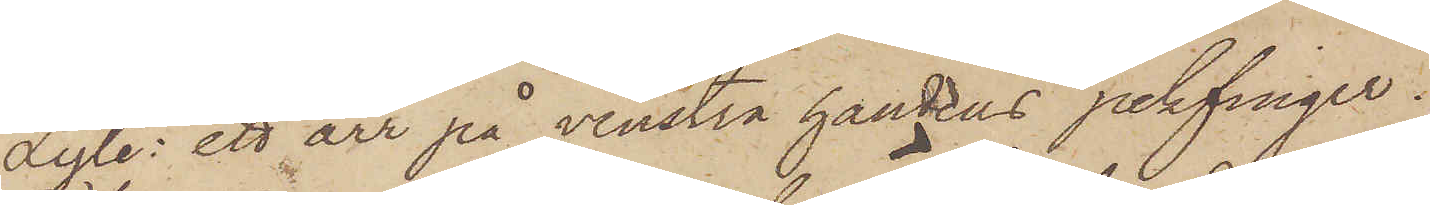Lyte: ett ärr på venstra handens pekfinger.
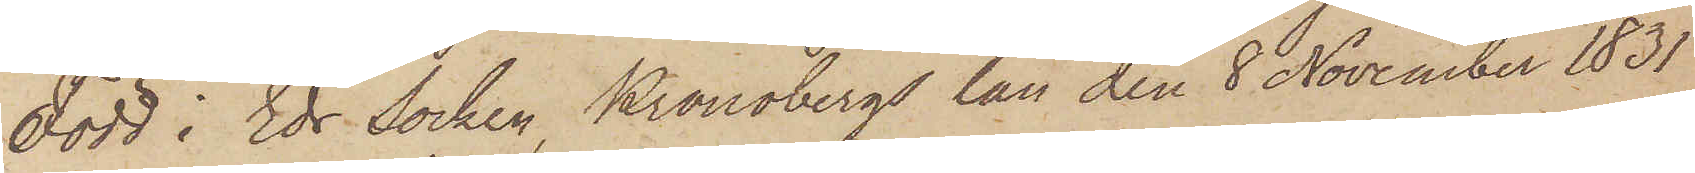Född i Eds Socken, Kronobergs län den 8 November 1831
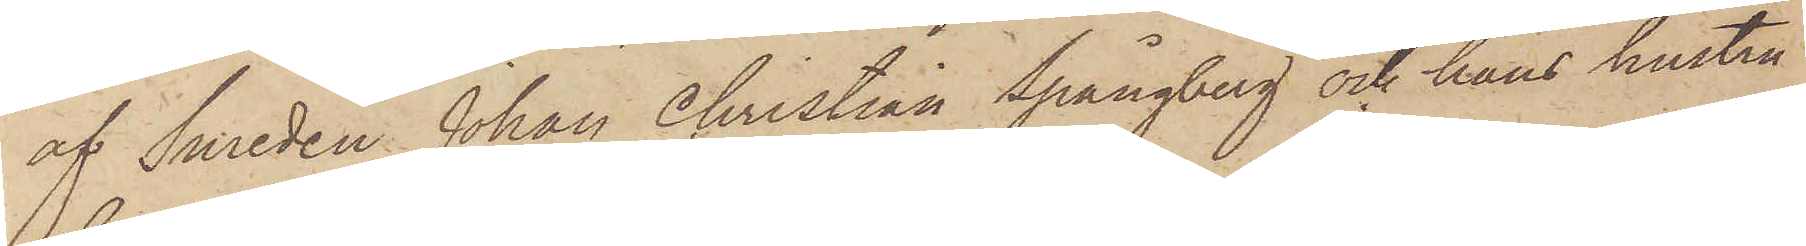af Smeden Johan Christian Spångberg och hans hustru
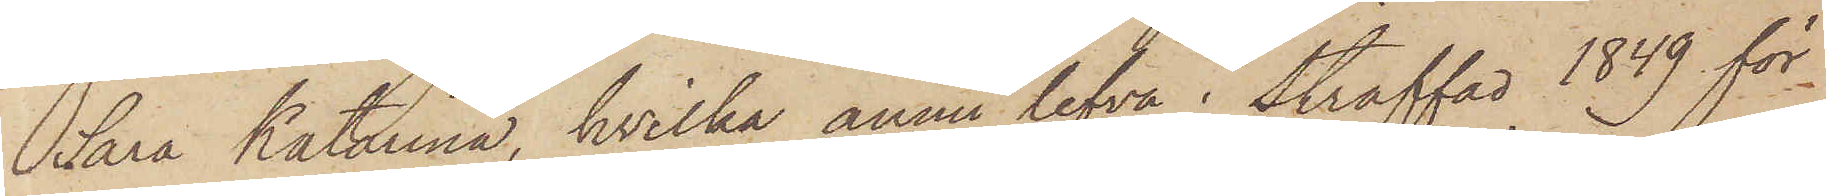Sara Katarina, hvilka ännu lefva; straffad 1849 för
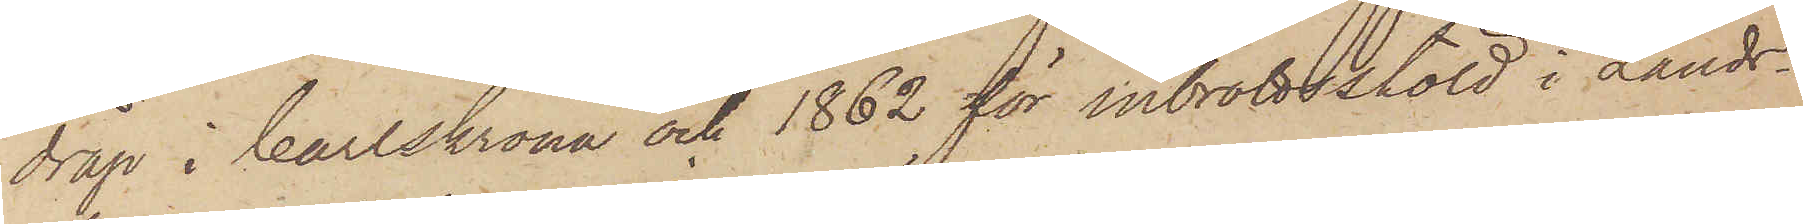dråp i Carlskrona och 1862 för inbrottsstöld i Lands¬
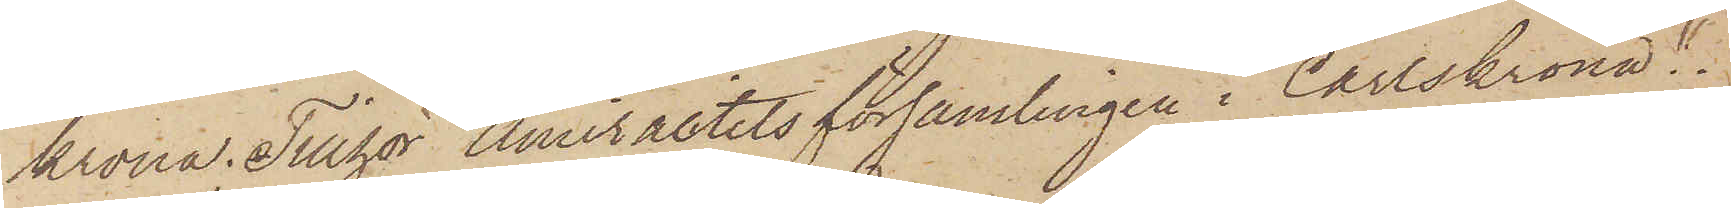krona. Tillhör Amiralitetsförsamlingen i Carlskrona."
